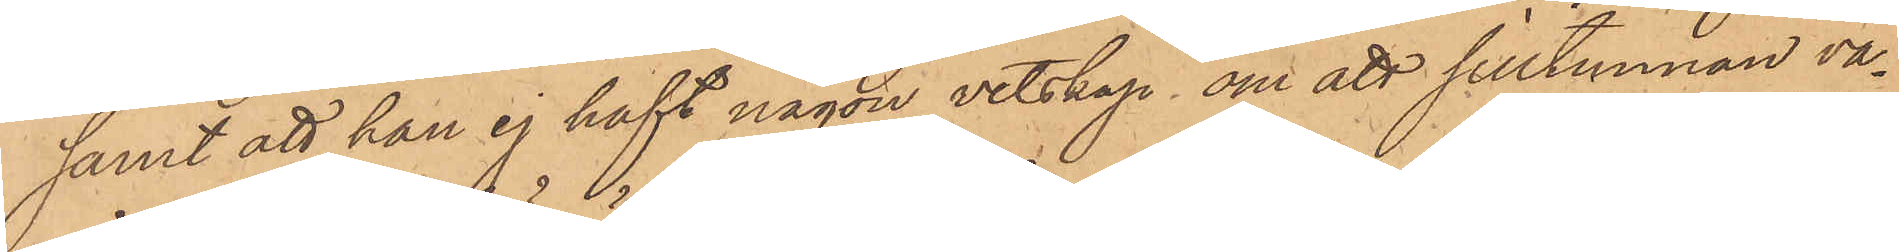samt att han ej haft någon vetskap om att silltunnan va¬
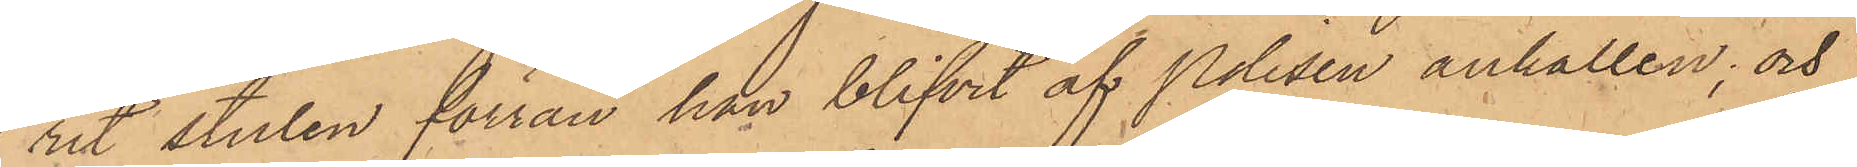rit stulen förrän han blifvit af Polisen anhållen; och
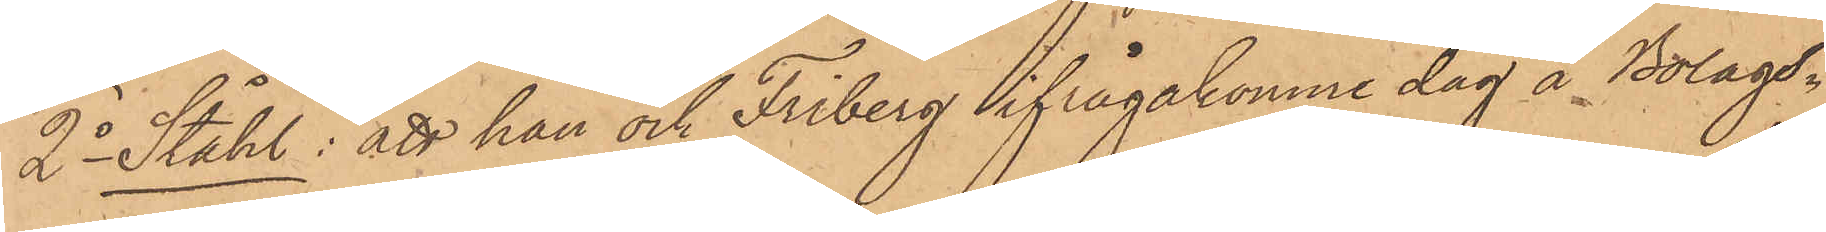2o Ståhl: att han och Friberg ifrågakomne dag å Bolags¬
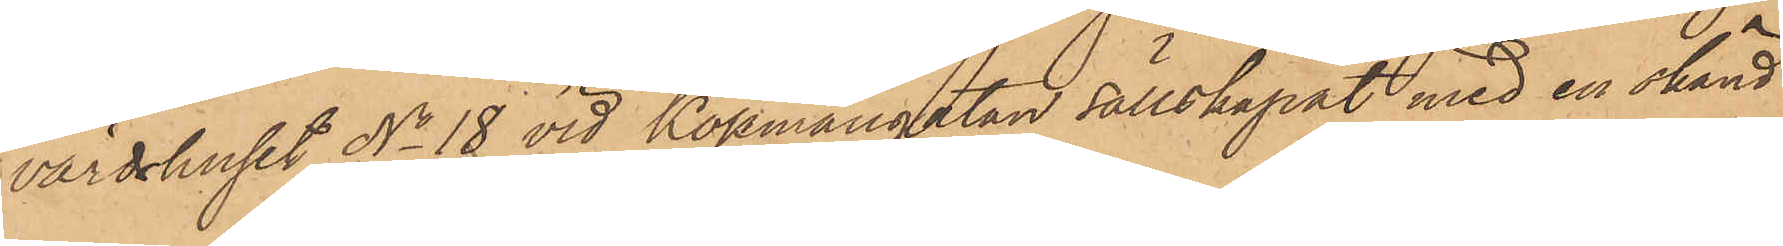värdshuset No 18 vid Köpmangatan sällskapat med en okänd
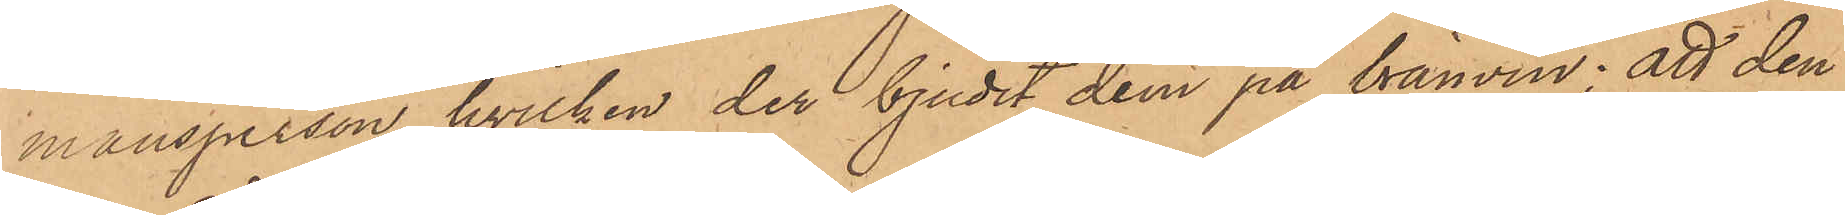mansperson, hvilken der bjudit dem på bränvin; att den
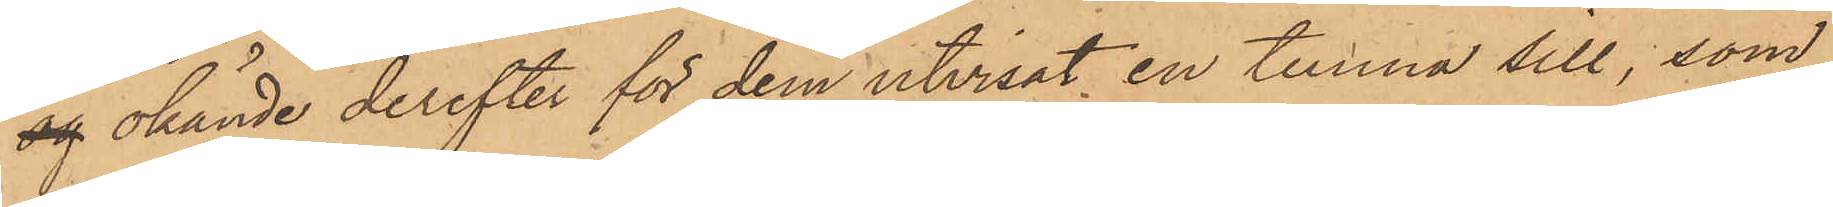og okände derefter för dem utvisat en tunna sill, som
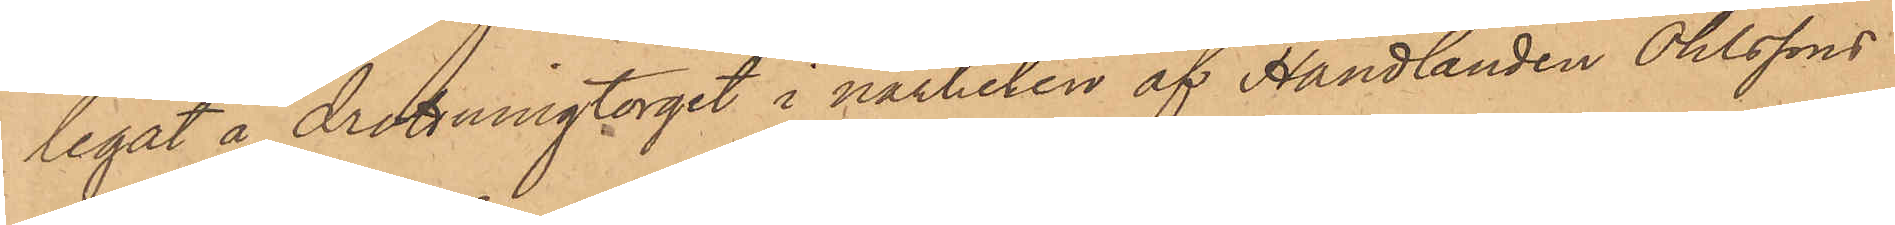legat å Drottningtorget i närheten af Handlanden Ohlssons
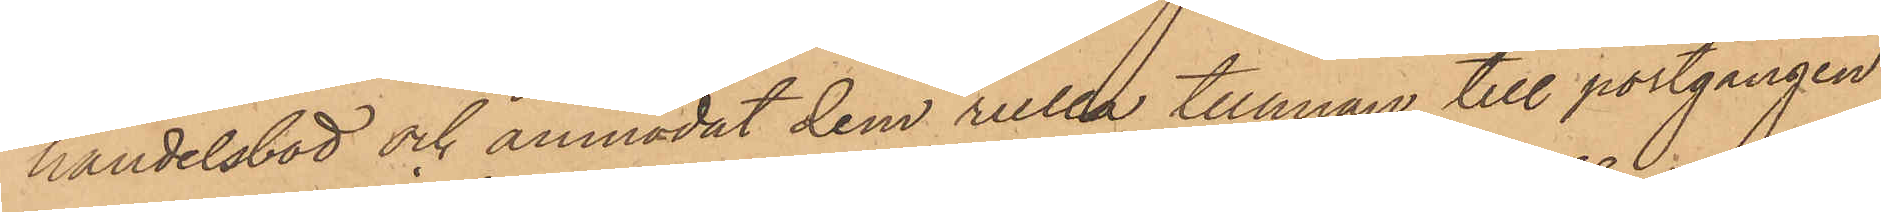handelsbod och anmodat dem rulla tunnan till portgången
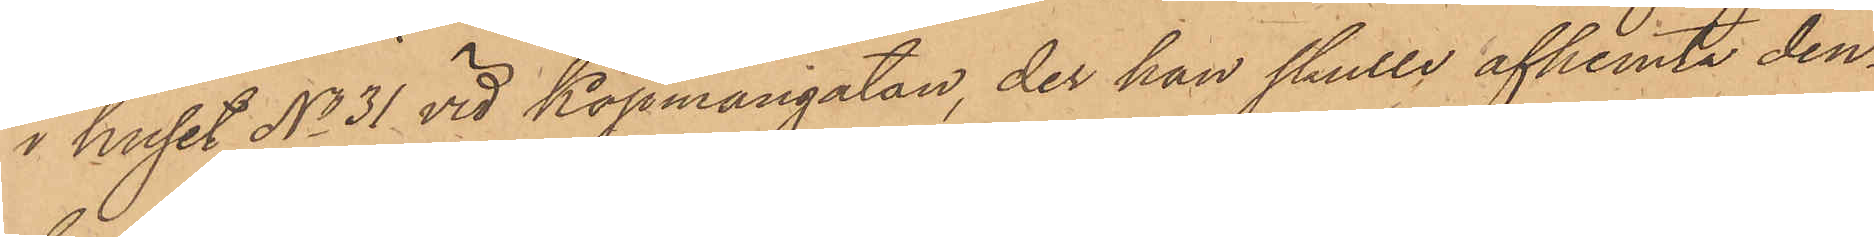i huset No 31 vid Köpmangatan, der han skulle afhemta den¬
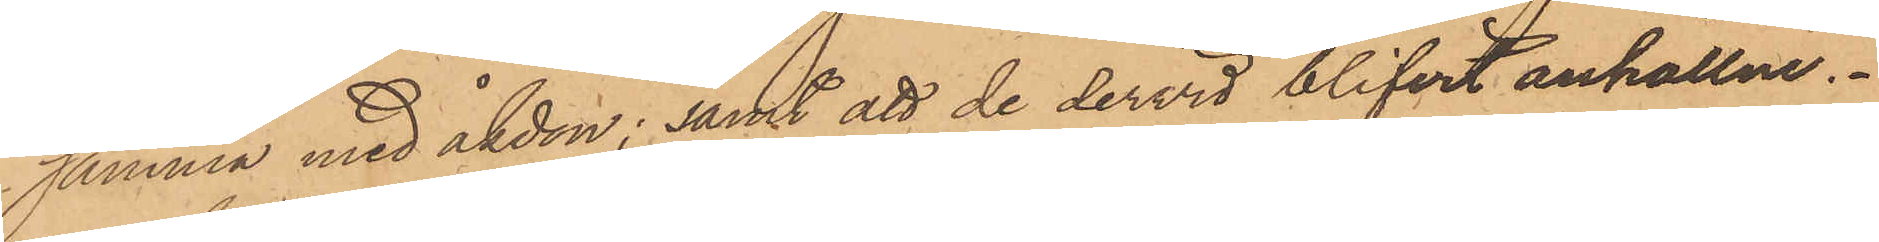samma med åkdon; samt att de dervid blifvit anhållne.
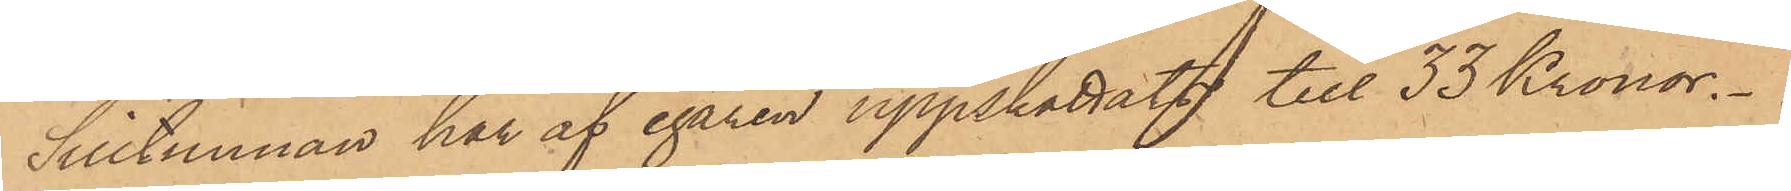Silltunnan har af egaren uppskattats till 33 Kronor.
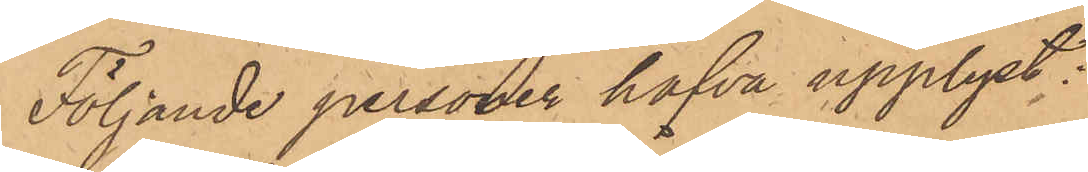Följande personer hafva upplyst:
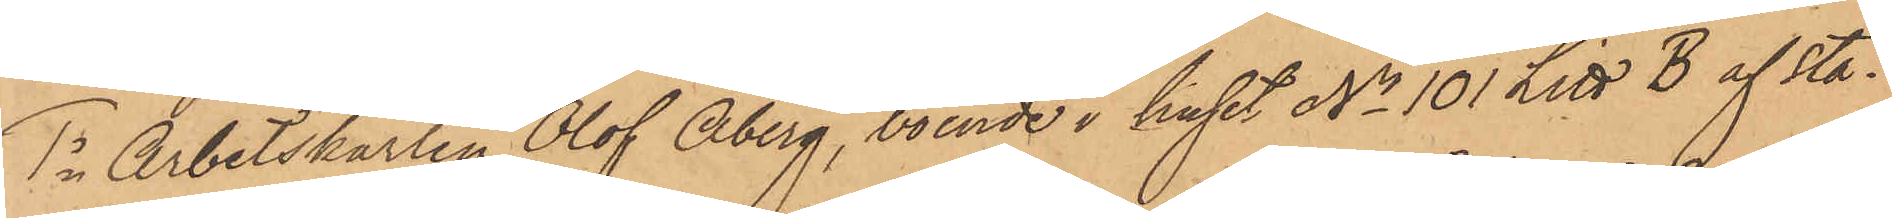1o Arbetskarlen Olof Åberg, boende i huset No 101 Litt B af sta¬
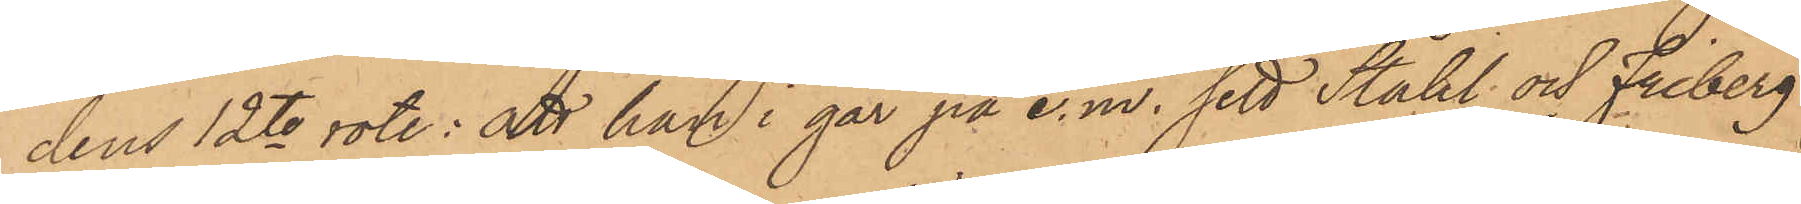dens 12te rote: att han i går på e. m. sett Ståhl och Friberg
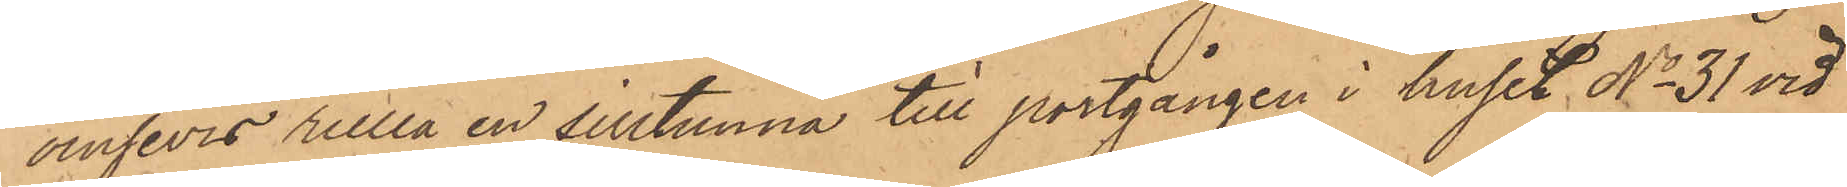ömsevis rulla en silltunna till portgången i huset No 31 vid
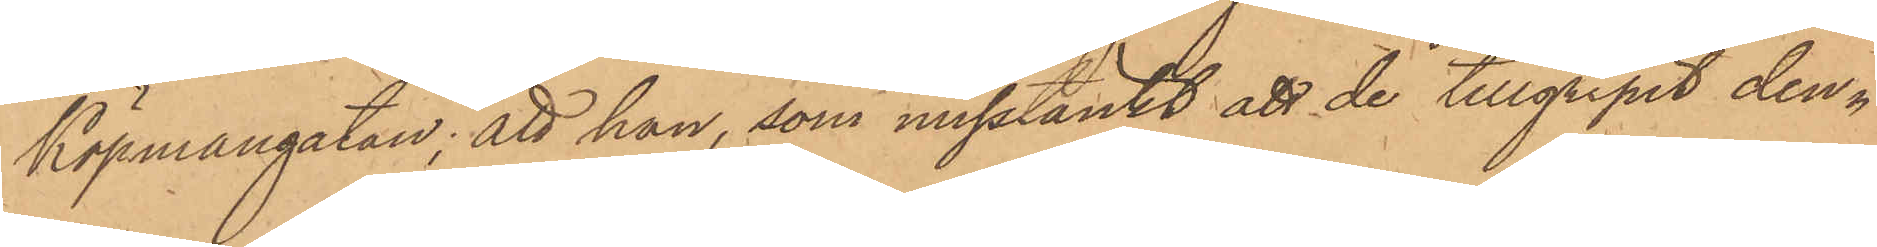Köpmangatan; att han, som misstänkt att de tillgripit den¬
